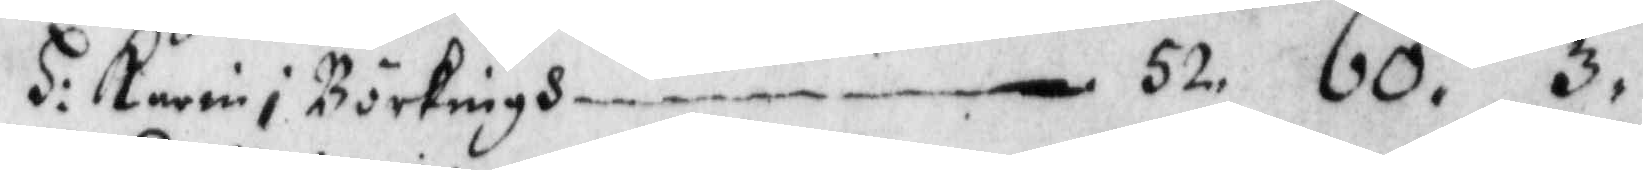H: Karin i Börkningh, 52. 60. 3.
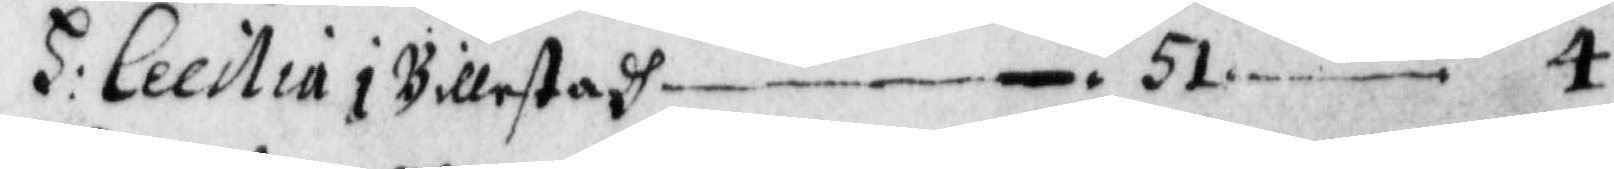H: Cecilia i Billestadh, 51. —. 4.
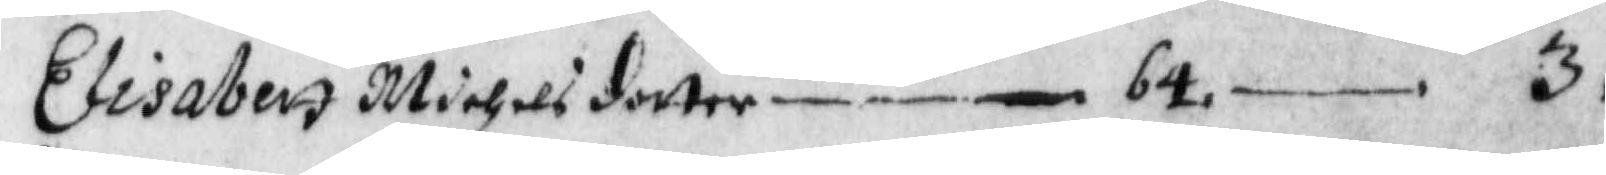Elisabett Michelsdotter, 64. —. 3.
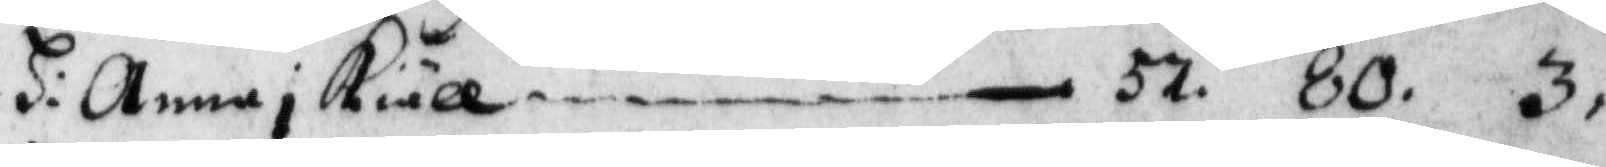H: Anna i kiäll, 57. 80. 3.
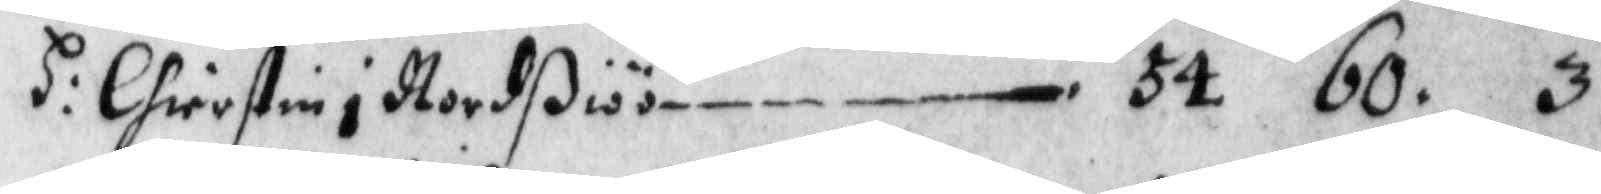H: Chierstin i Nordßiöö, 54. 60. 3.
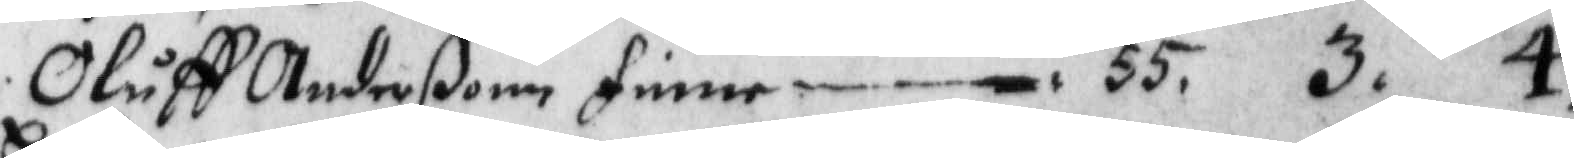Oluff Anderßonn finne, 55. 3. 4.
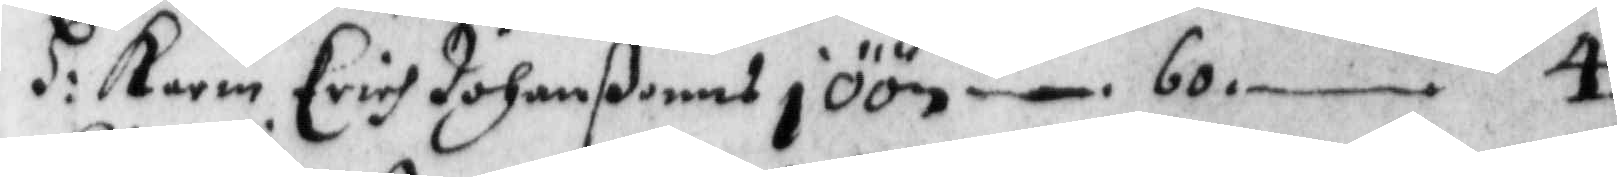H: Karin Erichs Johanßonns i ÖÖn, 60. —. 4.
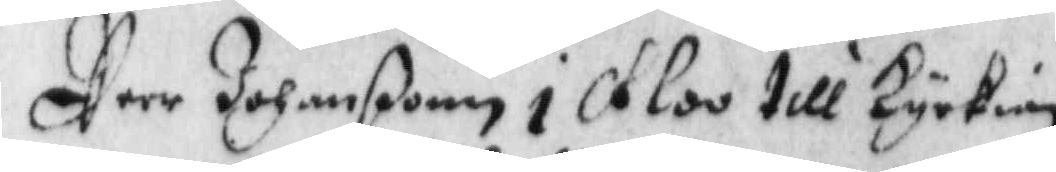Peer Johanßon i Floo till Kyrkian
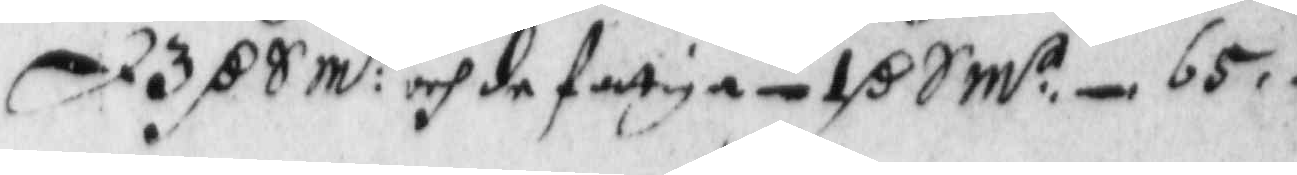d 3 r S m:t och de fattiga 1 r S m:t, 65. —. —.
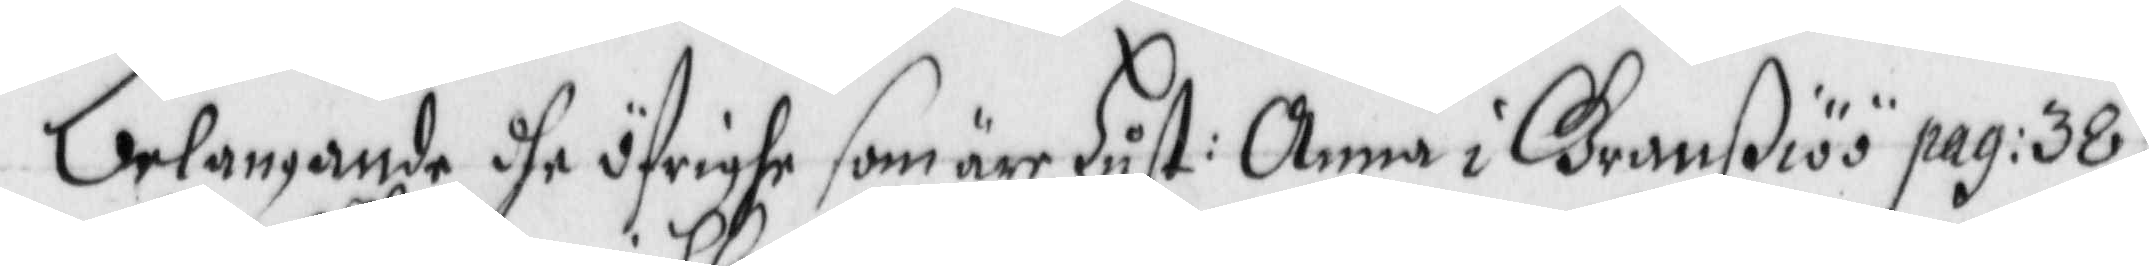Belangande dhe öfrighe som äre Hust: Anna i Granßiöö pag: 38.
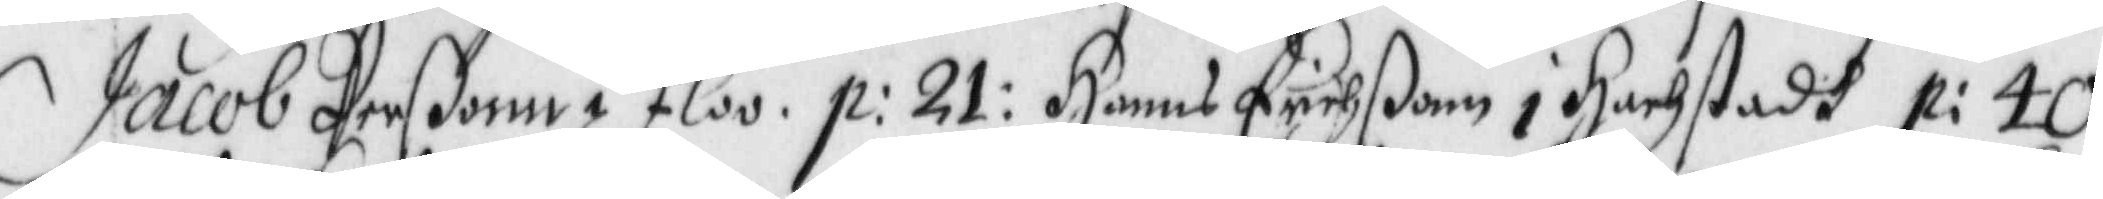Jacob Perßonn i Floo. p: 21, Hanns Erichßonn i Hackstadh p: 40,
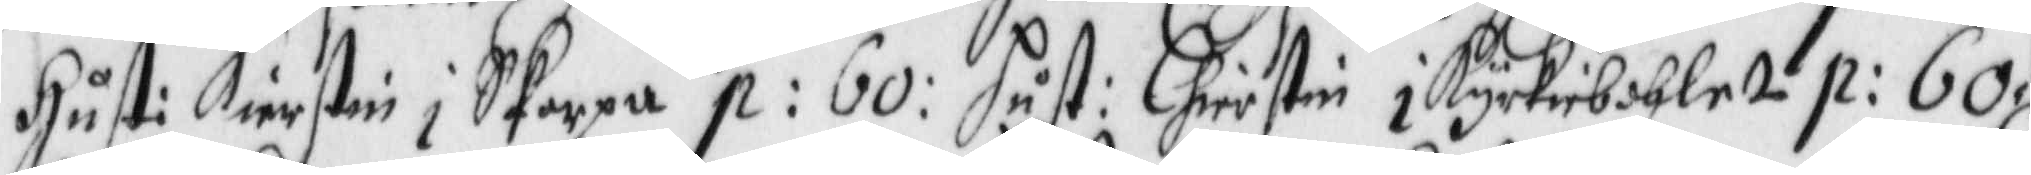Hust: Kierstin i Skarpa p: 60: Hust: Chirstin i Kyrkiebohle p: 60,
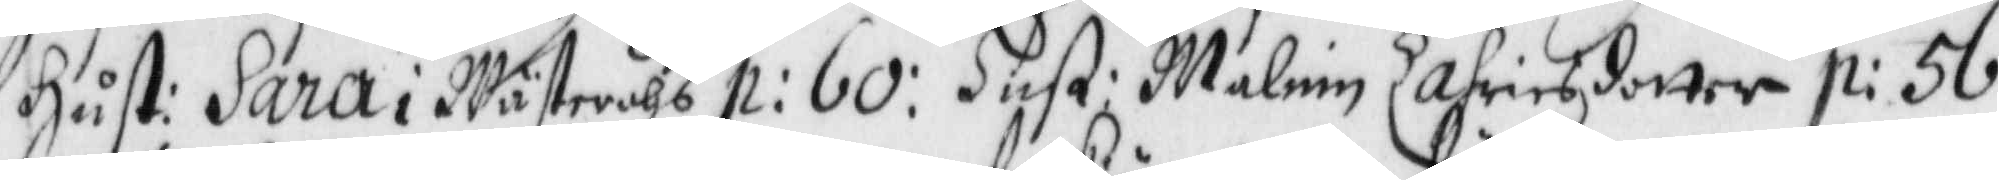Hust: Sara i Wästeråhs p: 60: Hust: Malin Zafriesdotter p: 56,
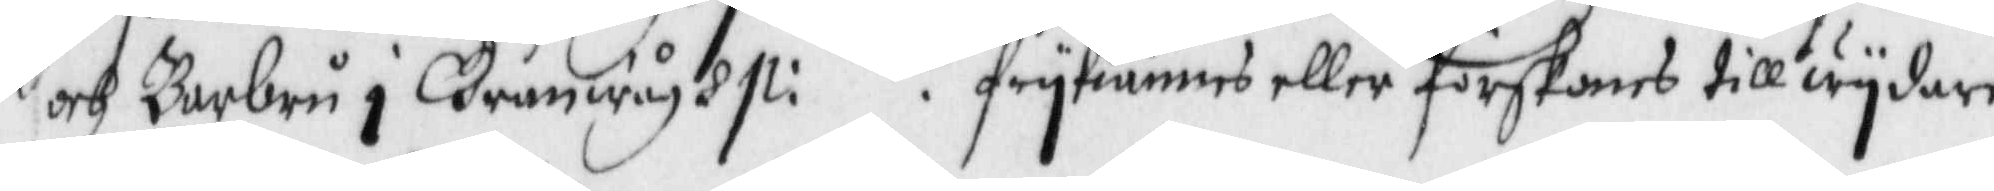och Barbru i Granwågh p. : frykiändes eller förskonas till wydare
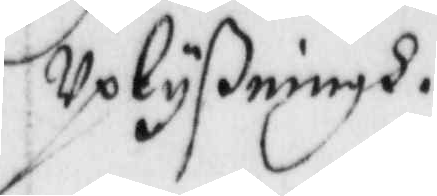Uplyßningh.
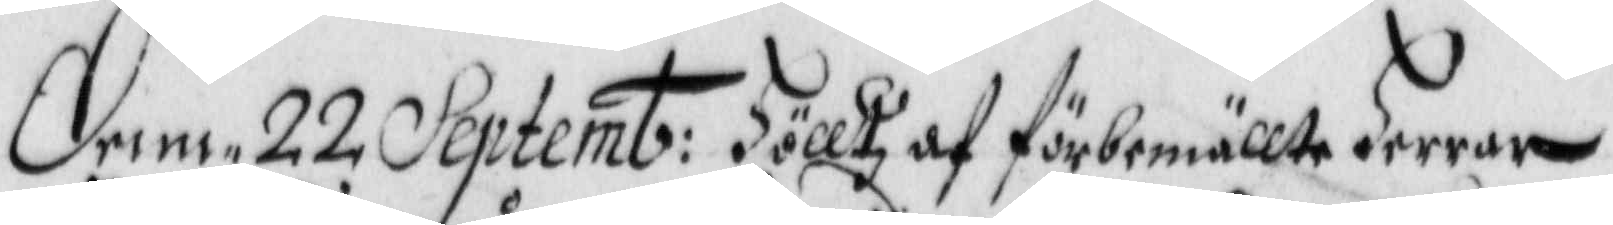denn 22 Septemb: Hölltz af förbemällte Herrar
